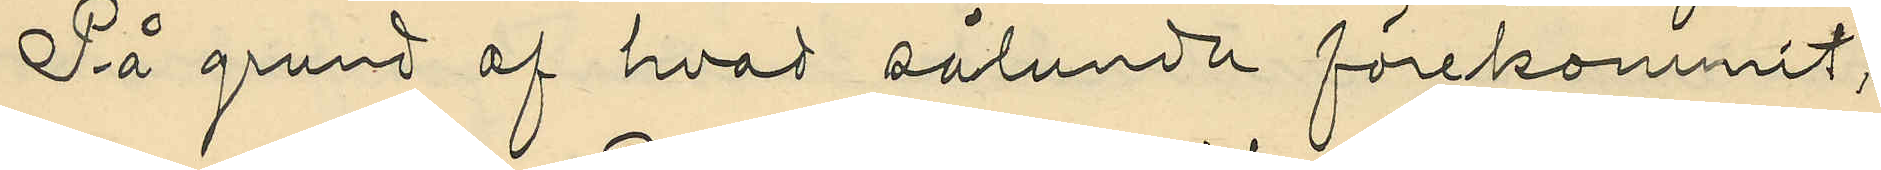På grund af hvad sålunda förekommit,
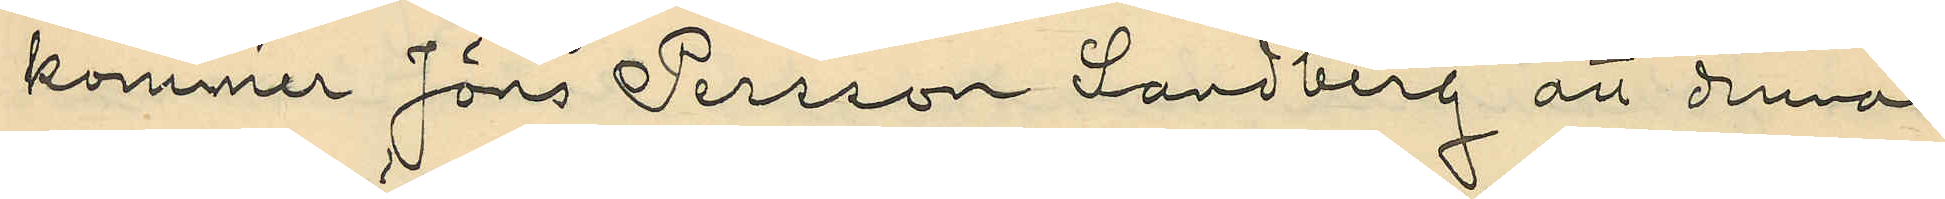kommer Jöns Persson Sandberg att denna
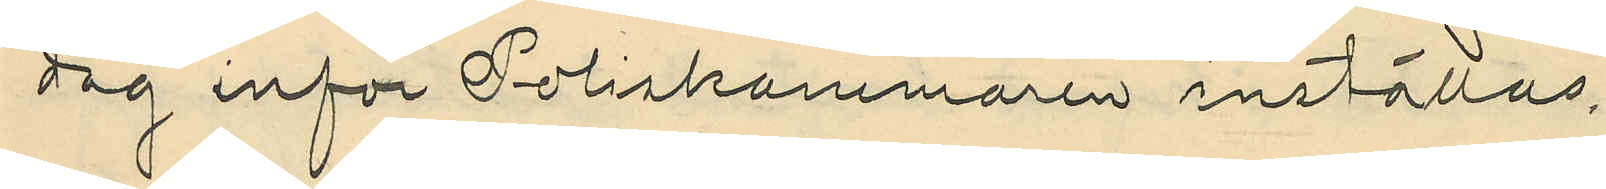dag inför Poliskammaren inställas.
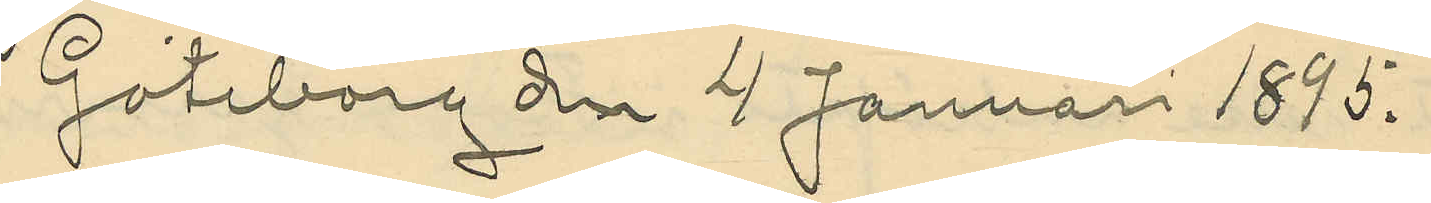Göteborg dn 4 Januari 1895.
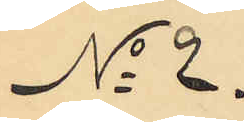No 2.
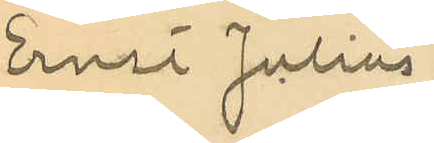Ernst Julius
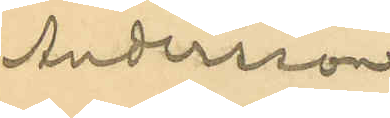Andersson
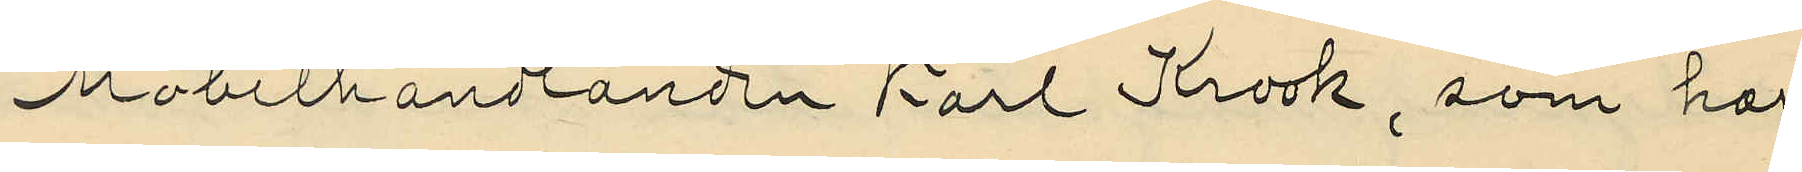Möbelhandlanden Karl Krook, som har
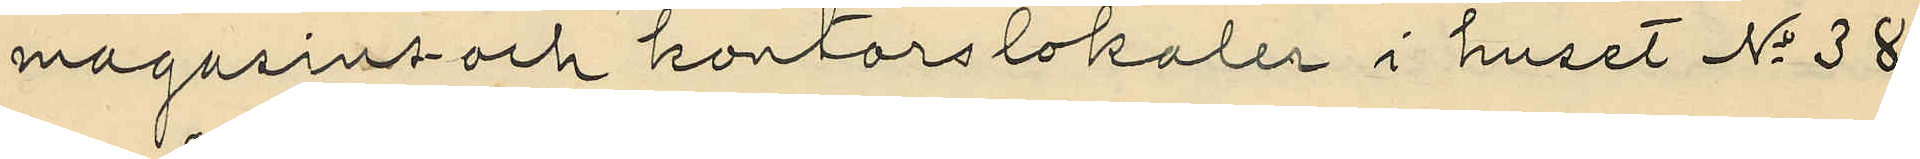magasins- och kontorslokaler i huset No 38
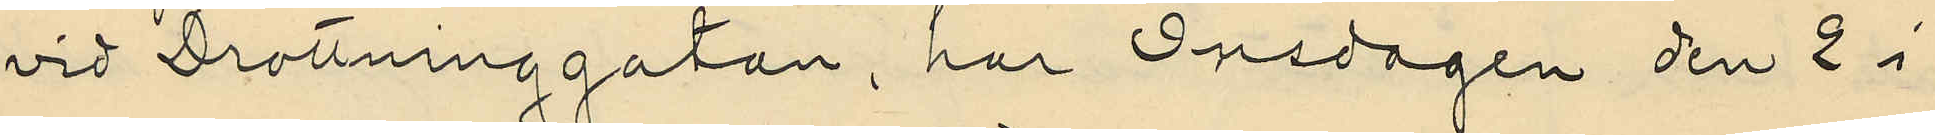vid Drottninggatan, har Onsdagen den 2 i
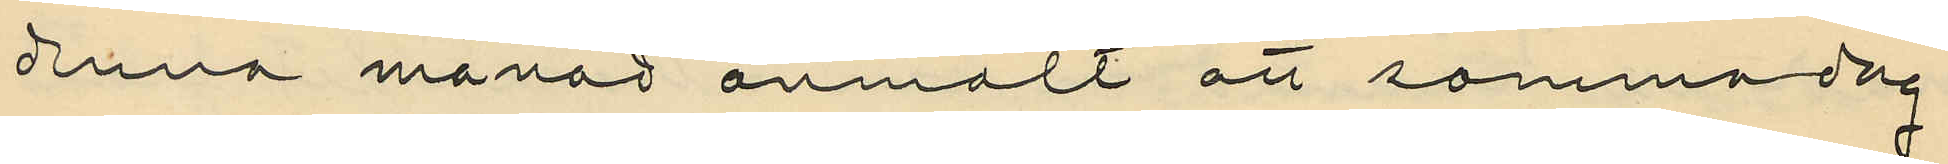denna månad anmält att samma dag
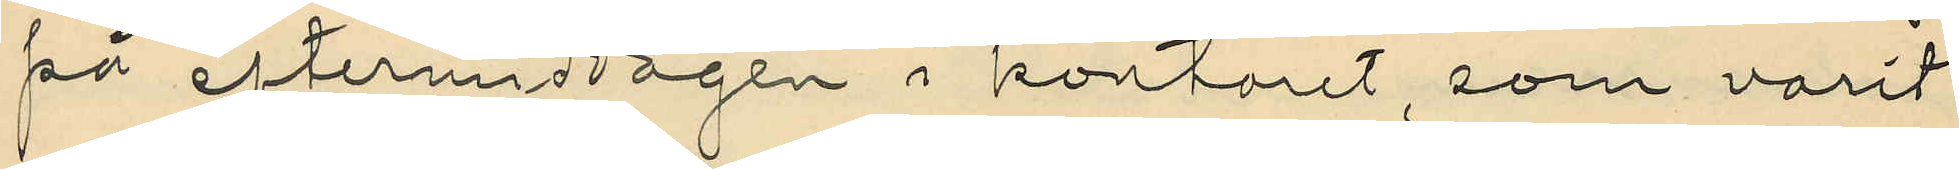på eftermiddagen i kontoret, som varit
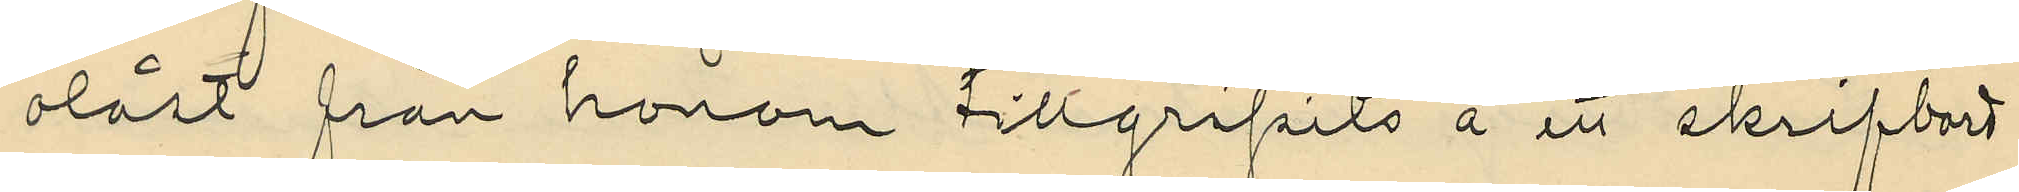olåst från honom tillgripits å ett skrifbord
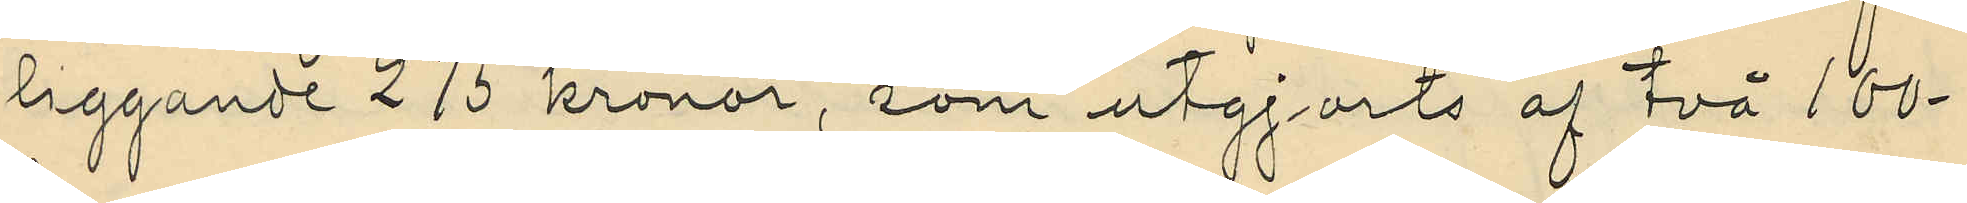liggande 275 kronor, som utgjorts af två 100-
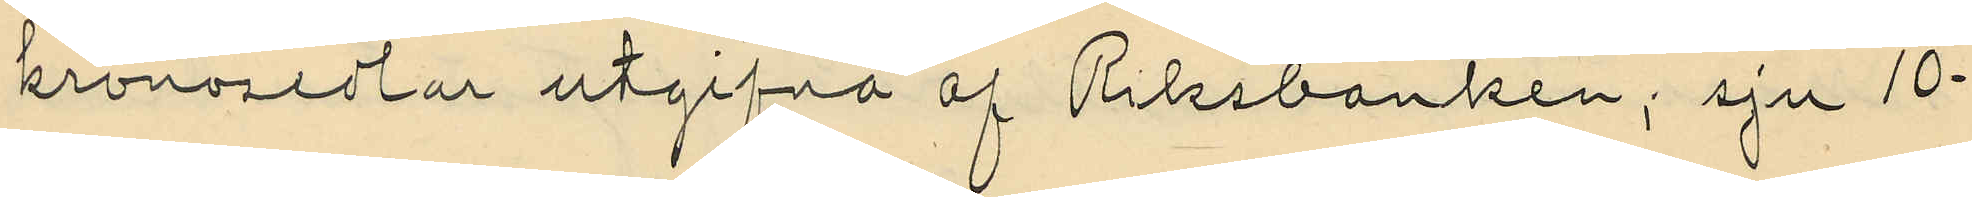kronosedlar utgifvna af Riksbanken; sju 10-
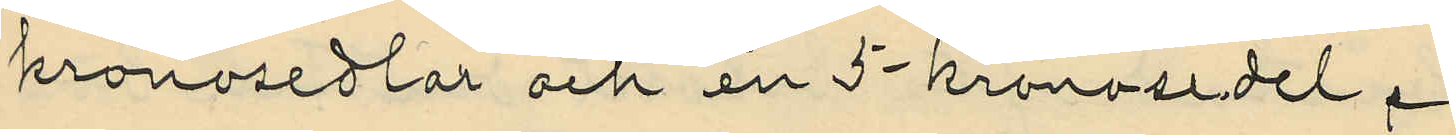kronosedlar och en 5-kronosedel.
